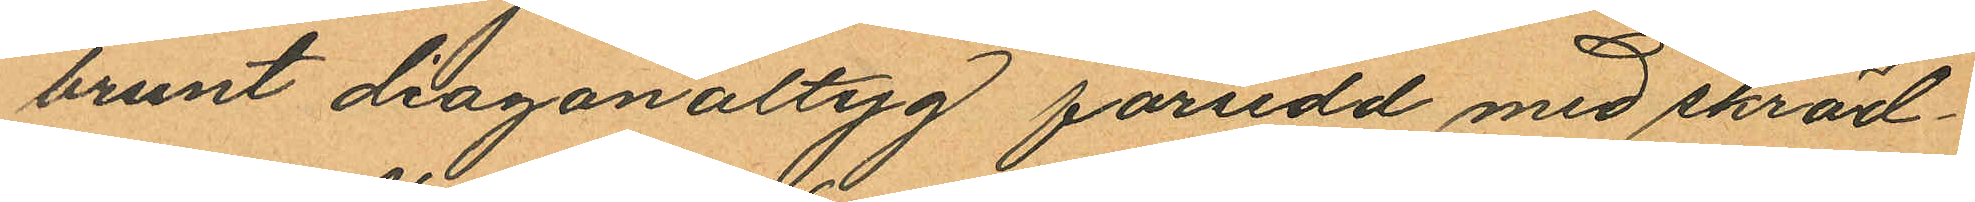brunt diagonaltyg försedd med skräd¬
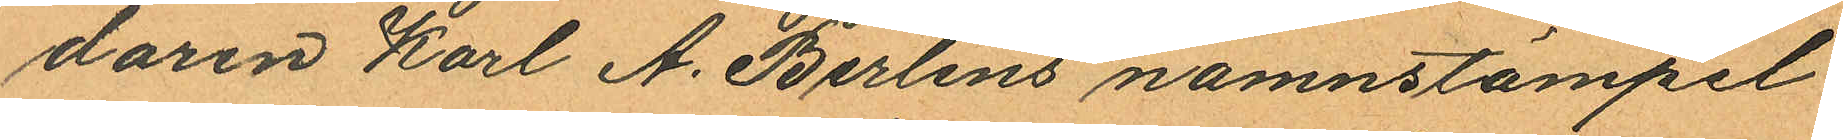daren Karl A. Berlins namnstämpel
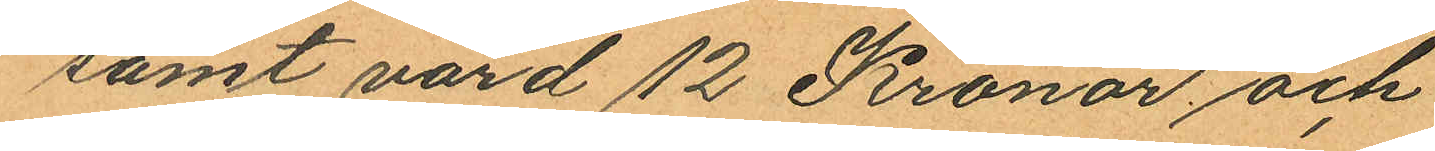samt värd 12 Kronor; och
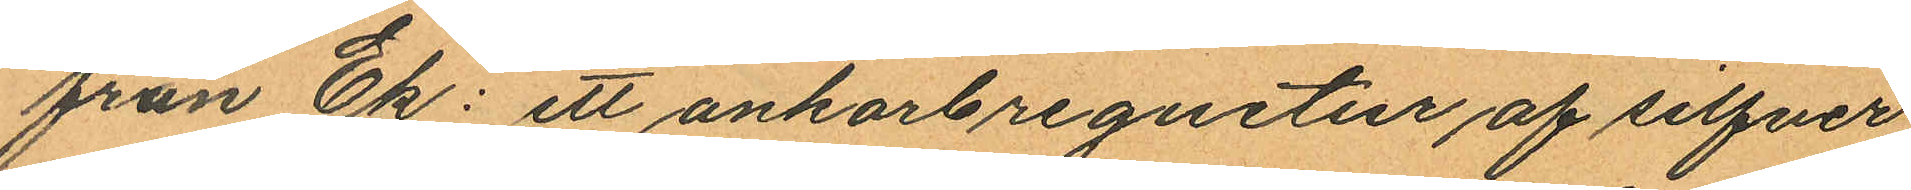från Ek: ett ankarbreguetur af silfver
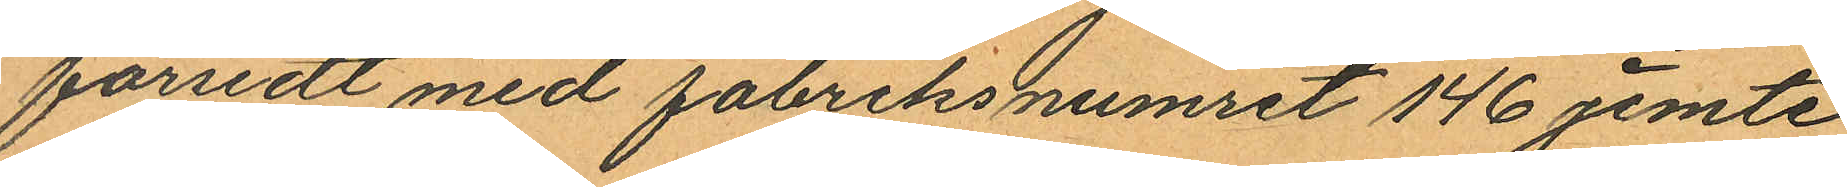försedt med fabriksnumret 146 jemte
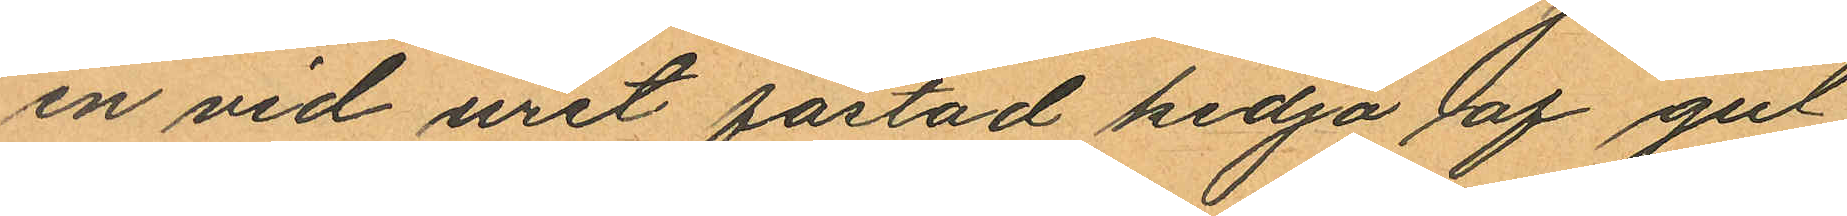en vid uret fästad kedja af gul
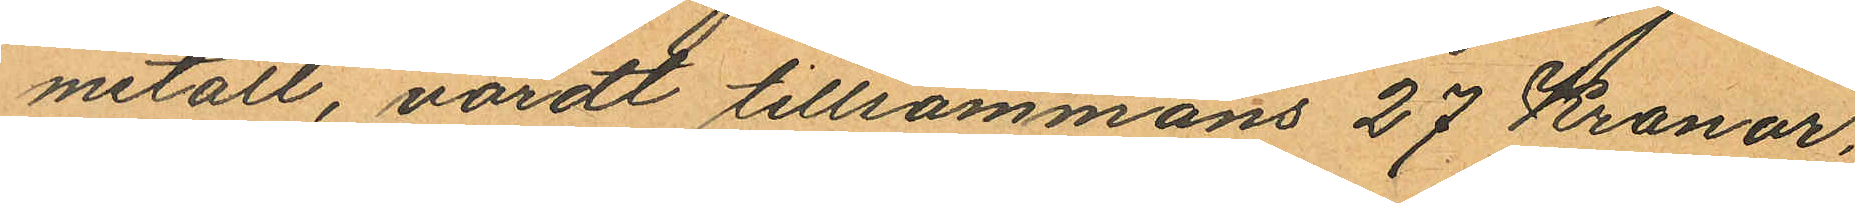metall, värdt tillsammans 27 Kronor,
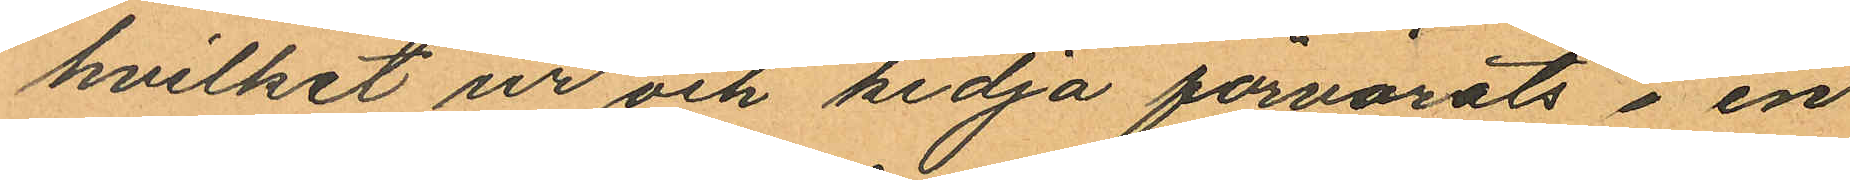hvilket ur och kedja förvarats i en
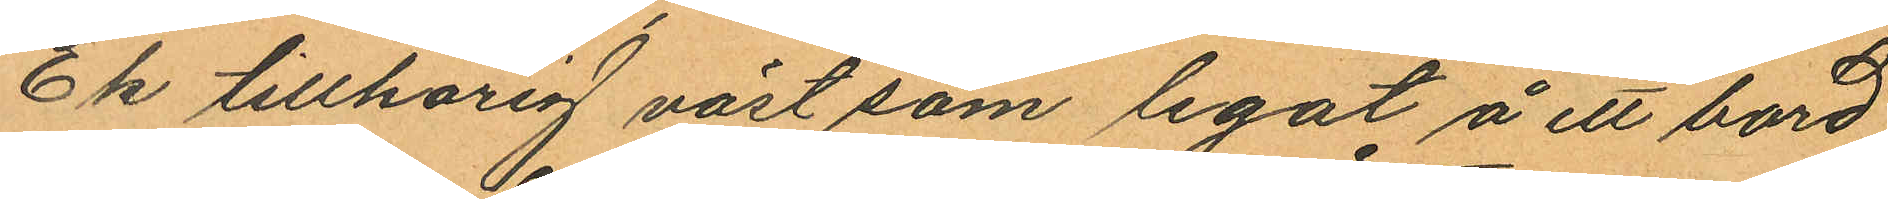Ek tillhörig väst som legat å ett bord
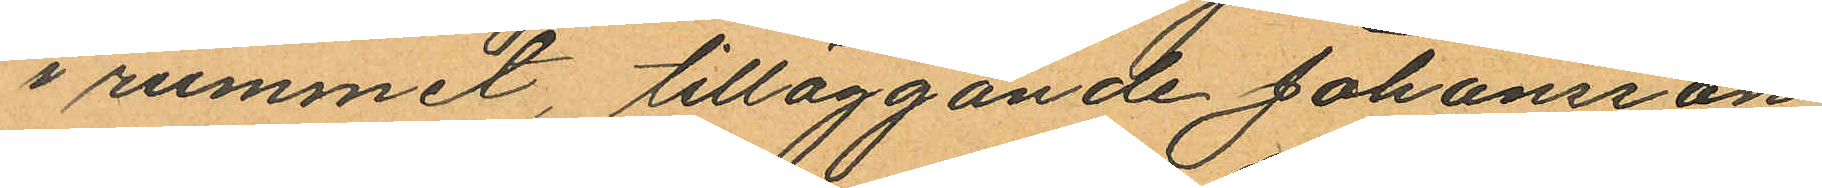i rummet, tilläggande Johansson
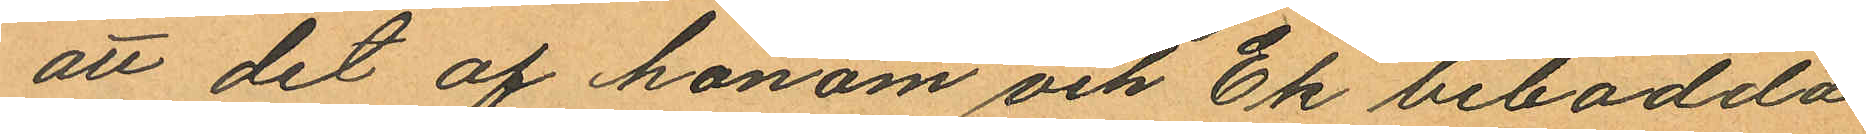att det af honom och Ek bebodda
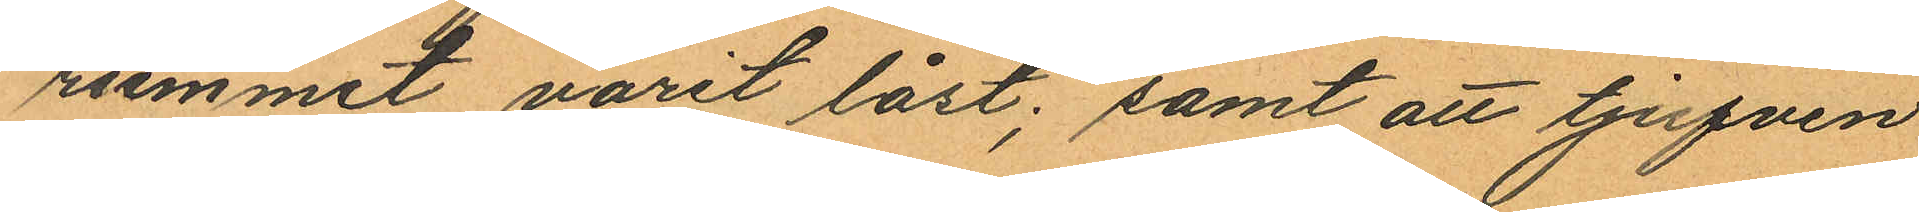rummet varit låst; samt att tjufven
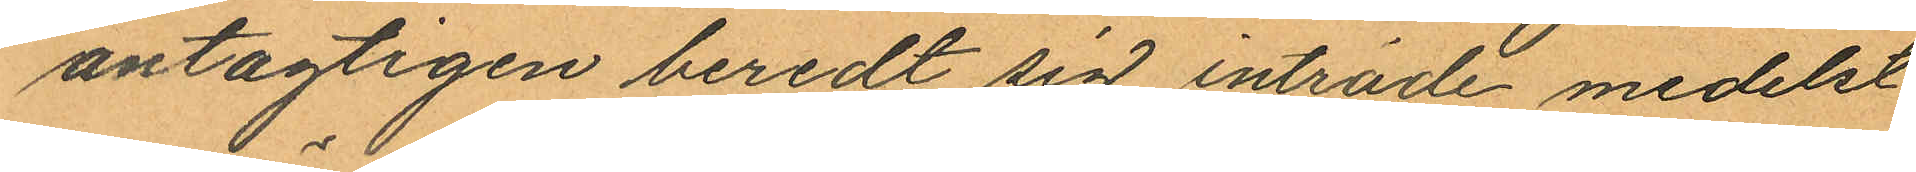antagligen beredt sig inträde medelst
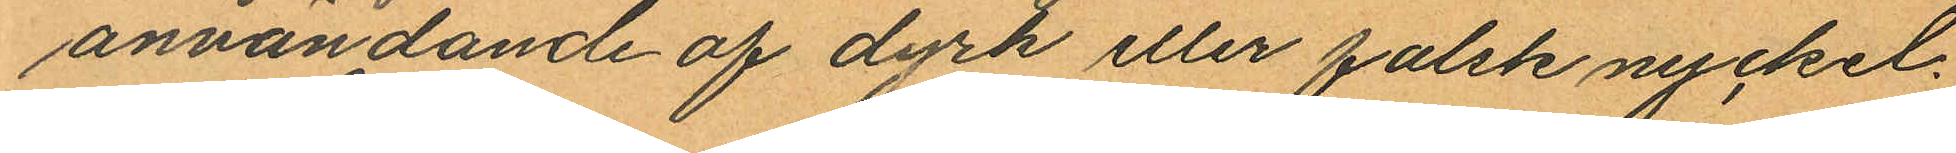användande af dyrk eller falsk nyckel.
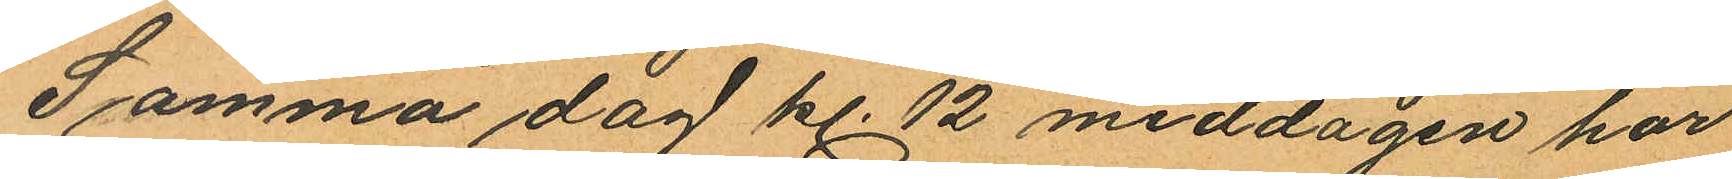Samma dag kl. 12 middagen har
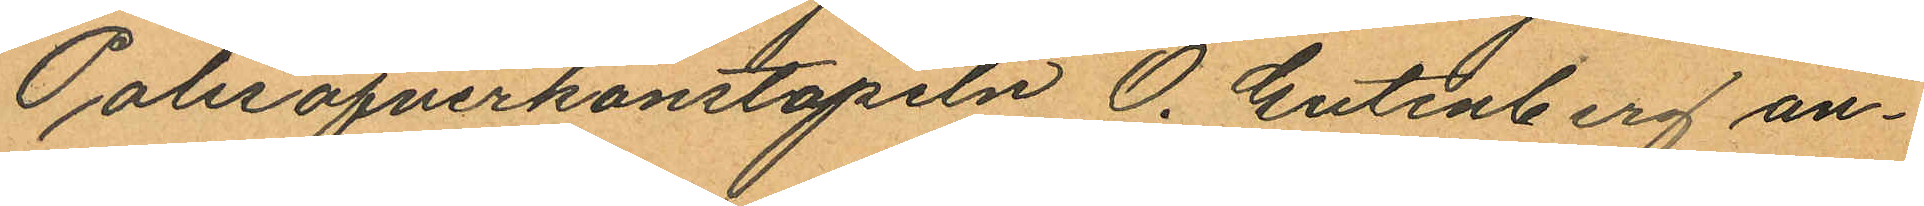Polisöfverkonstapeln O. Gutenberg an¬
